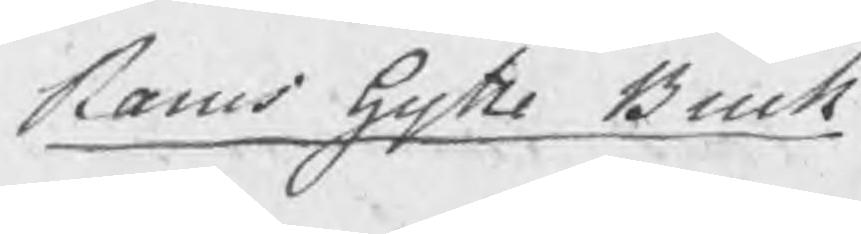Rams hytte Bruk
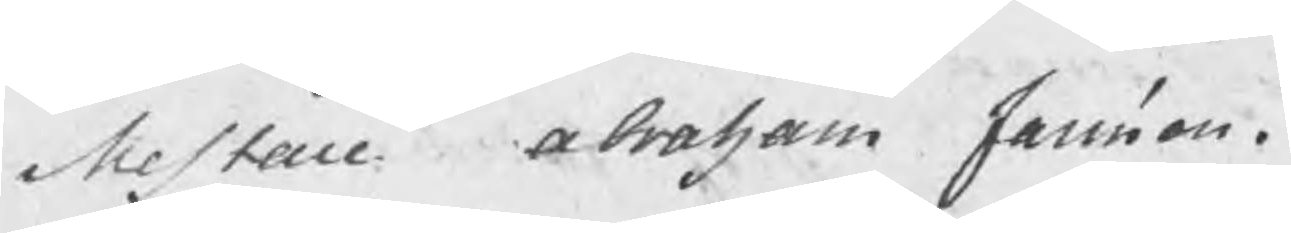Mestare Abraham Jansson.
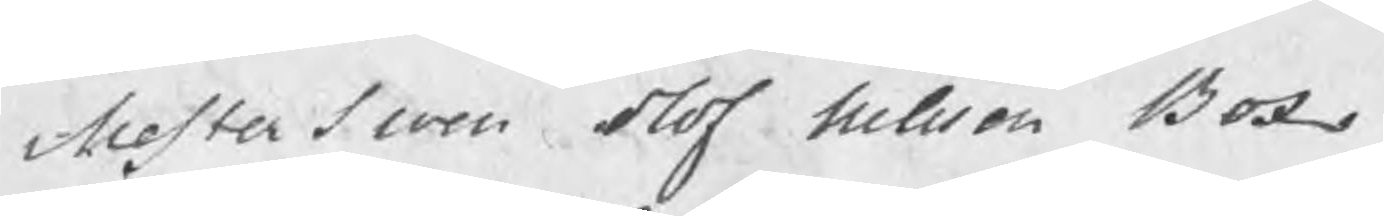Mesterswen Olof Nilsson Box
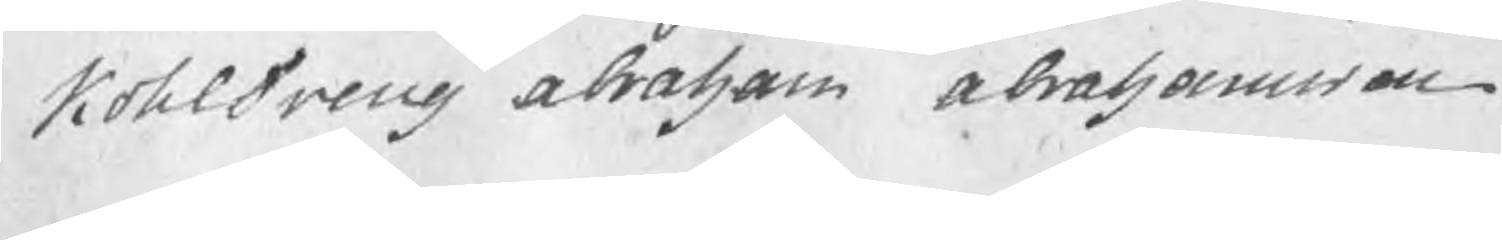KohlDreng Abraham Abrahamsson
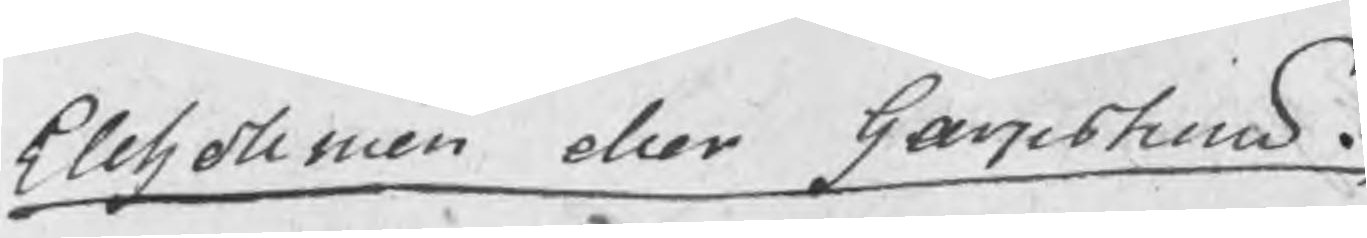Ellholmen eller Garpstrom.
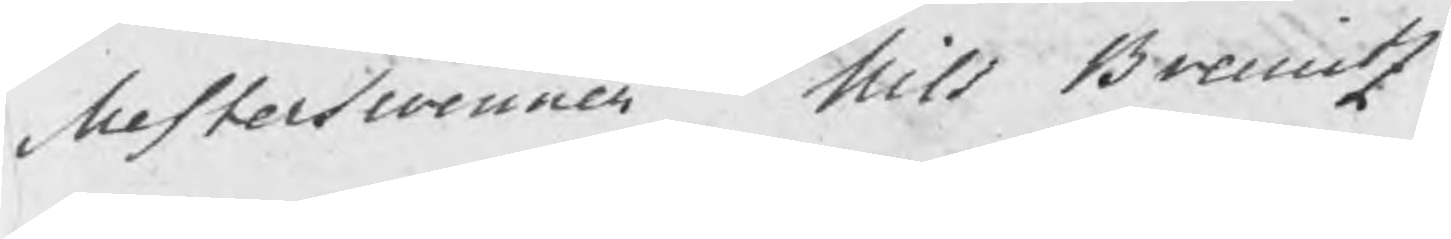Mesterswenner Nils Breuitz
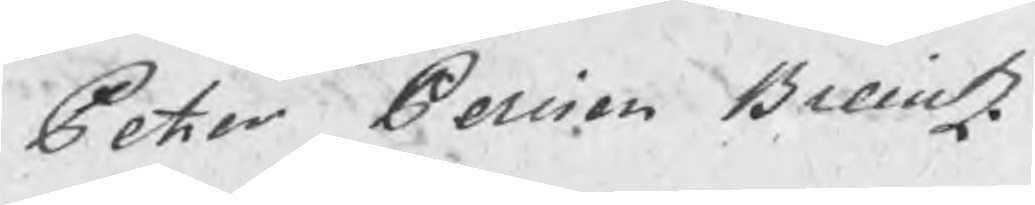Peter Persson Breuitz.
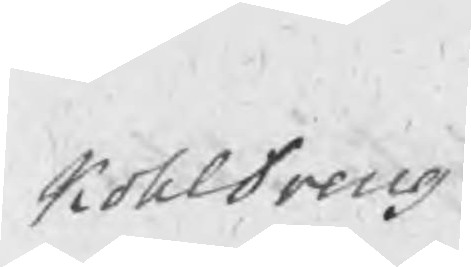KohlDreng
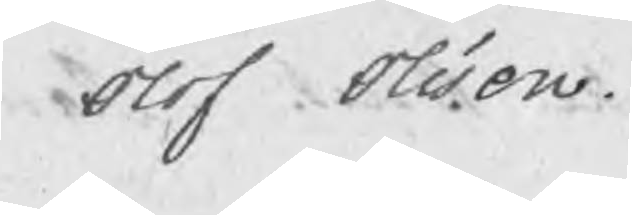Olof Olsson.
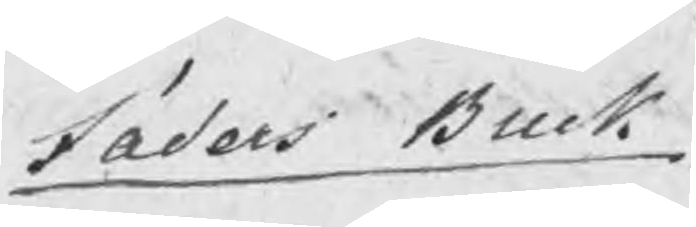Jäders Bruk
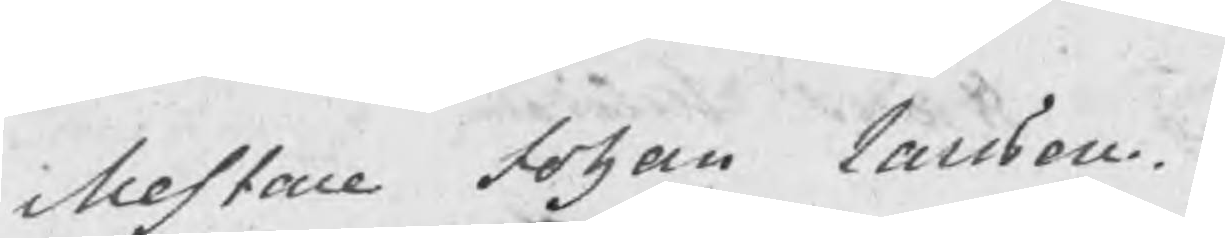Mestare Johan Larsson
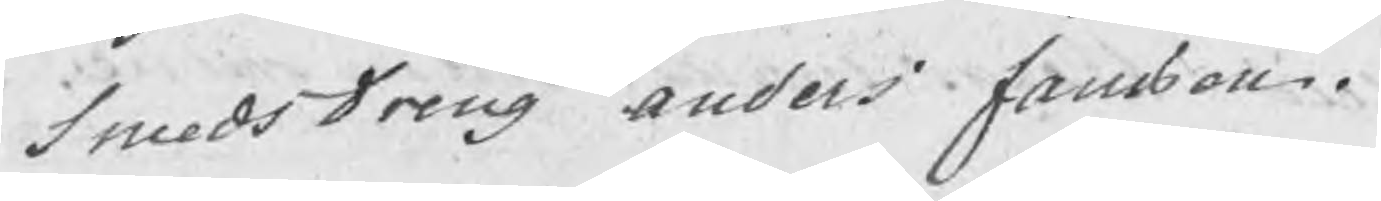SmedsDreng Anders Fansson.
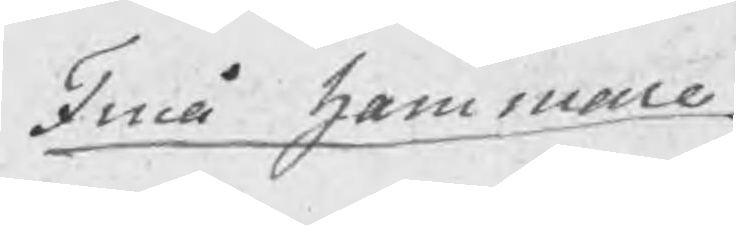Finå hammare
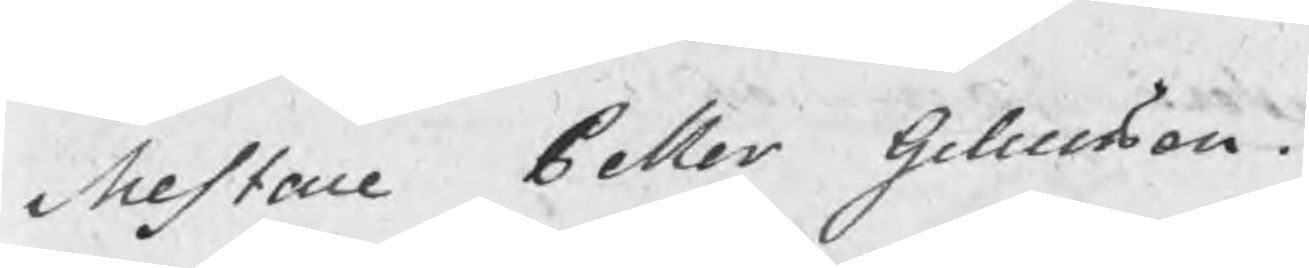Mestare Petter Gellerson.
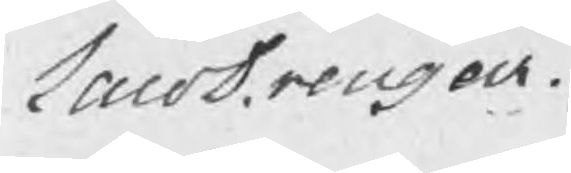LaroDrengar.
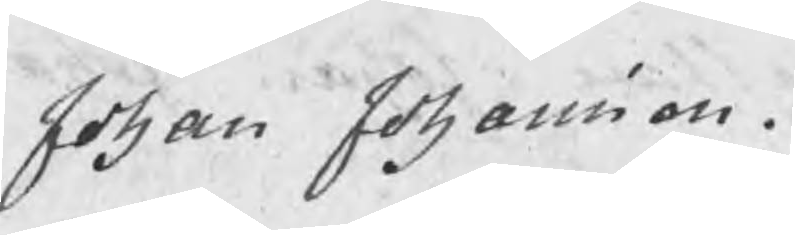Johan Johansson.
